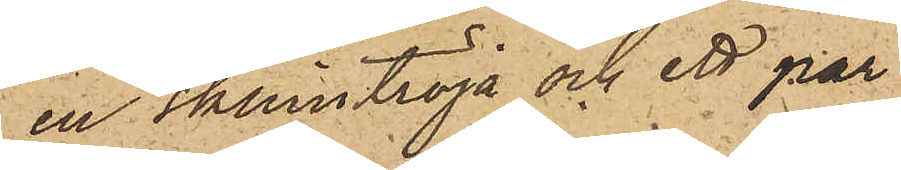, en skinntröja och ett par
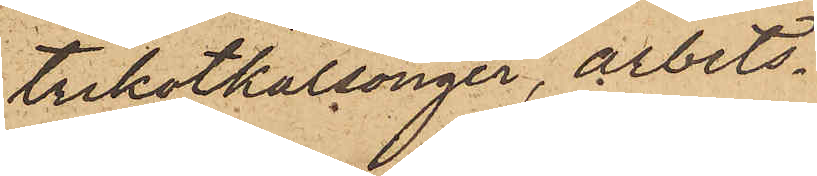trikotkalsonger, arbets¬
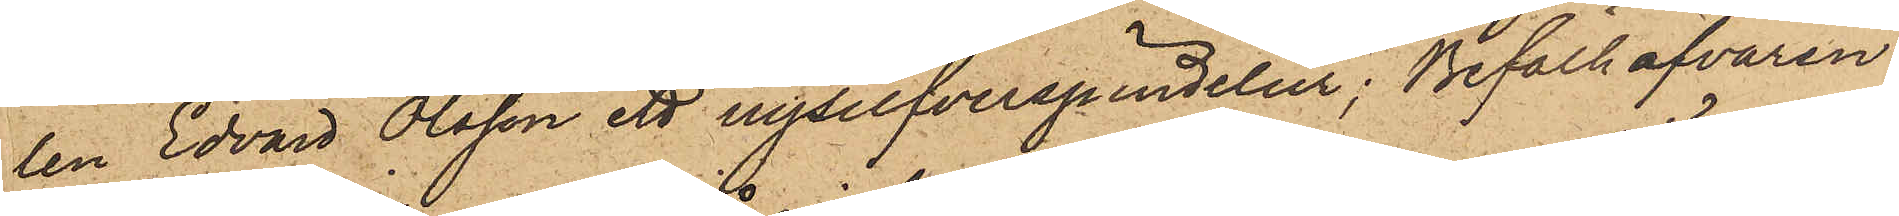len Edvard Olsson ett nysilfverspindelur; Befälhafvaren
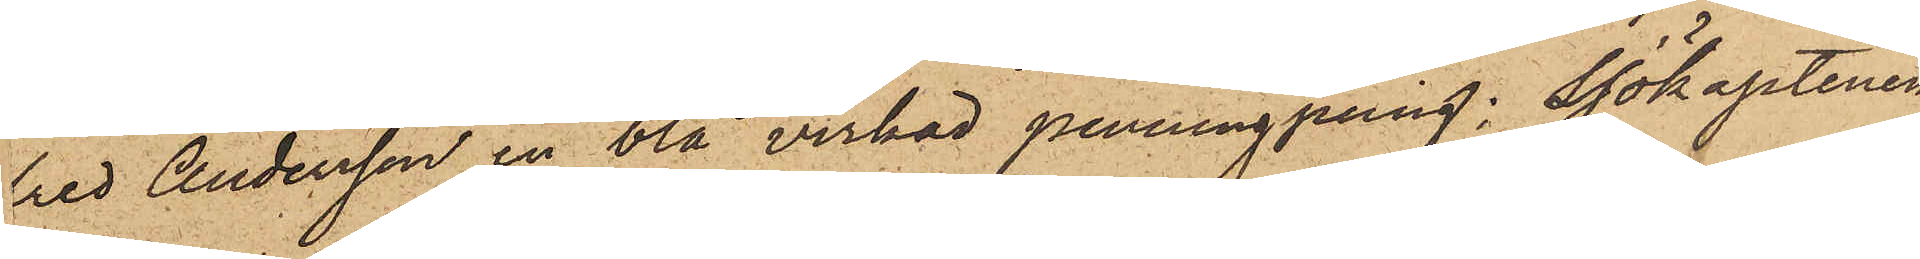fred Andersson en blå virkad penningpung; Sjökaptenen
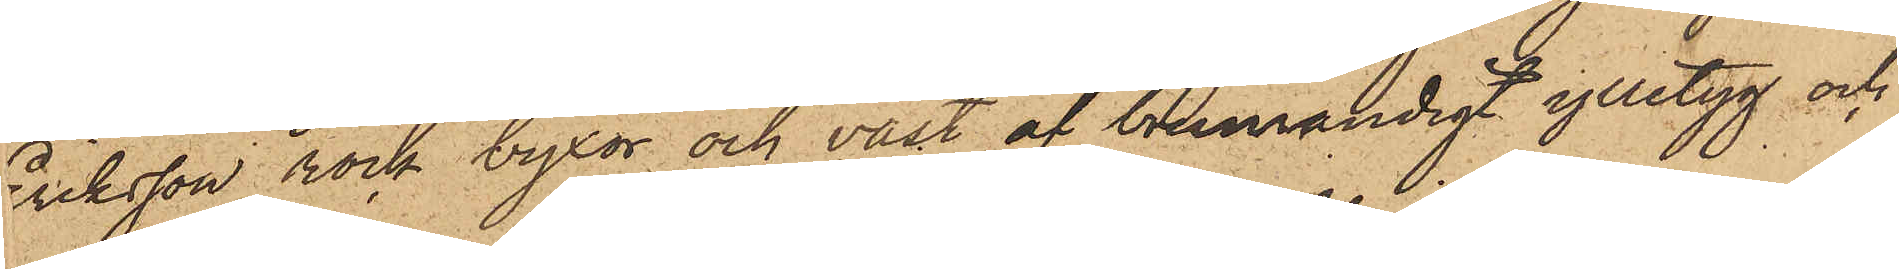Eriksson rock byxor och väst af brunrandigt ylletyg och
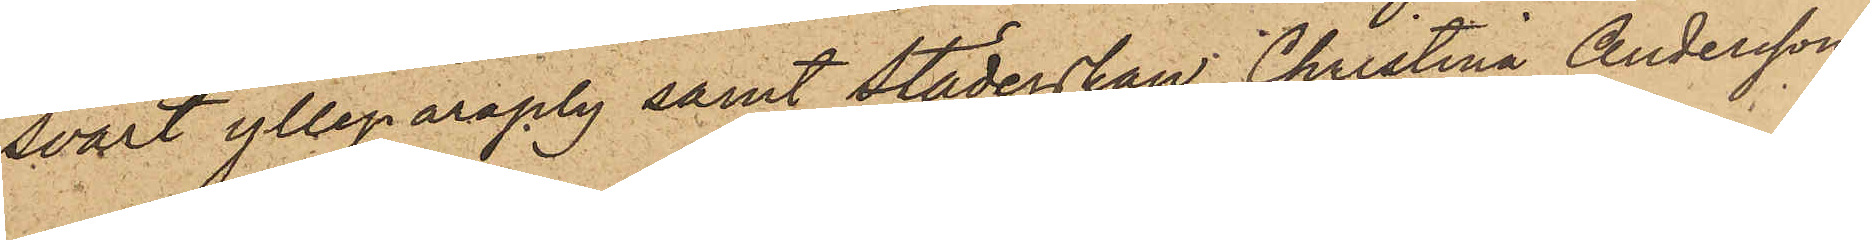svart ylleparaply samt städerskan Christina Andersson
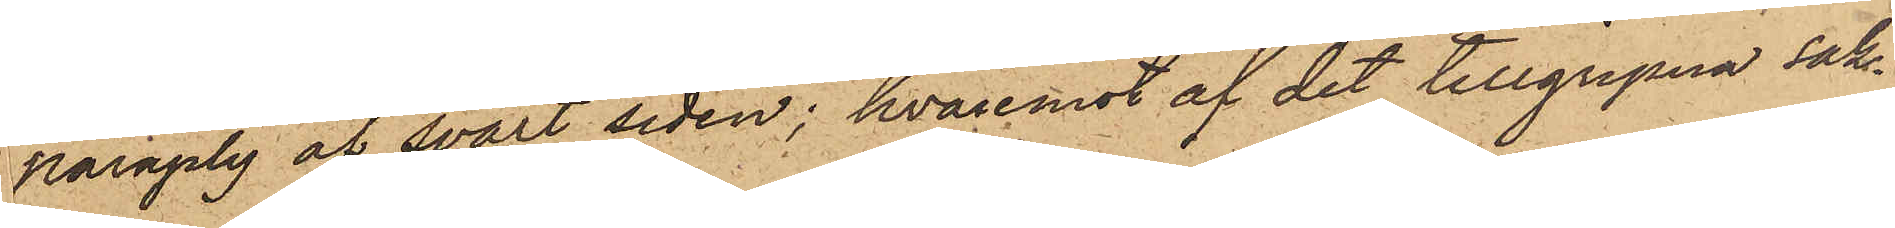paraply af svart siden; hvaremot af det tillgripna sak¬
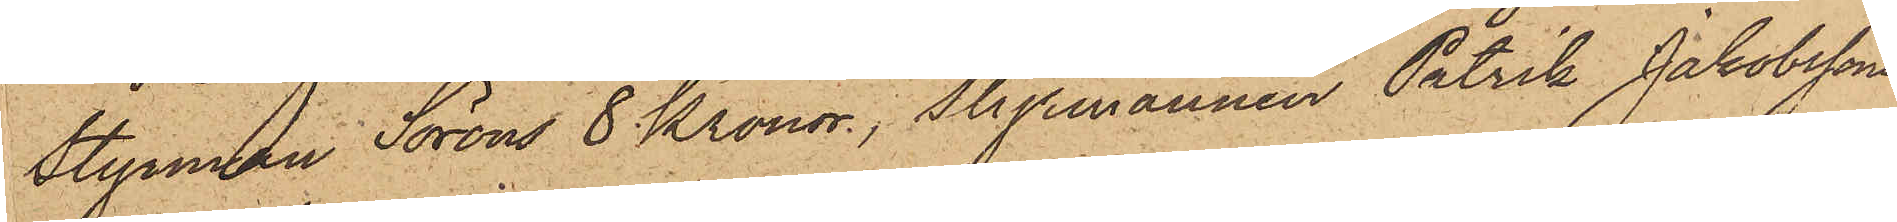Styrman Soröns 8 Kronor, Styrmannen Patrik Jakobssons
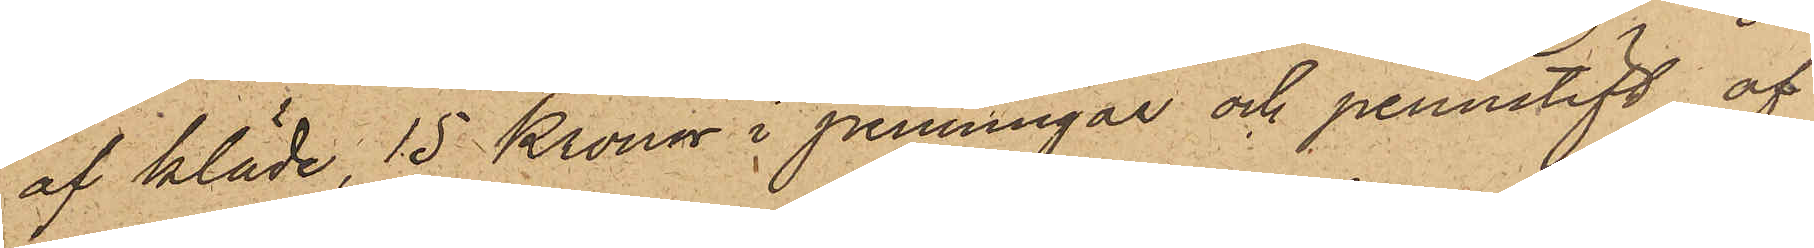af kläde, 15 Kronor i penningar och pennstift af
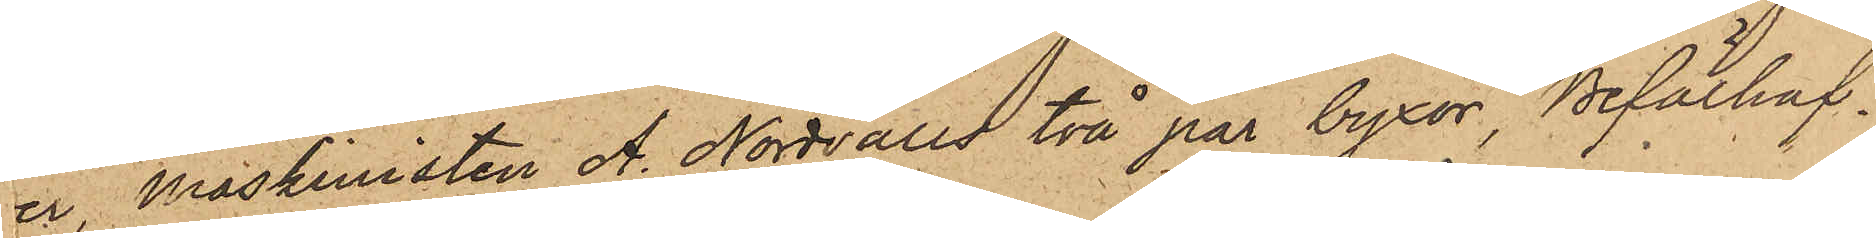er Maskinisten A. Nordvalls två par byxor, Befälhaf¬
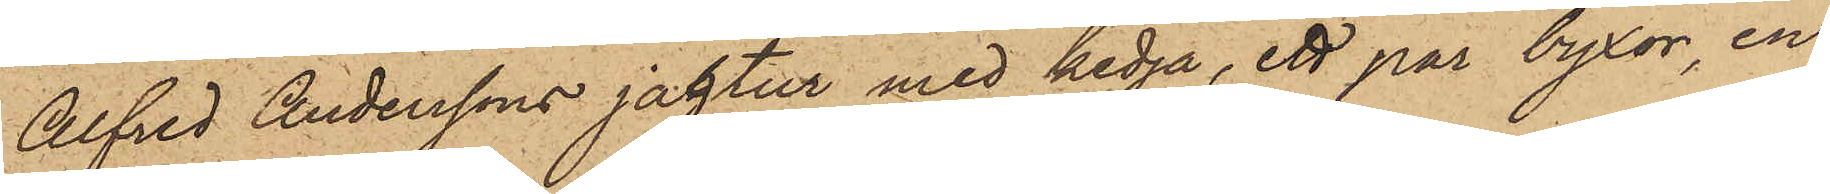Alfred Anderssons jagtur med kedja, ett par byxor, en
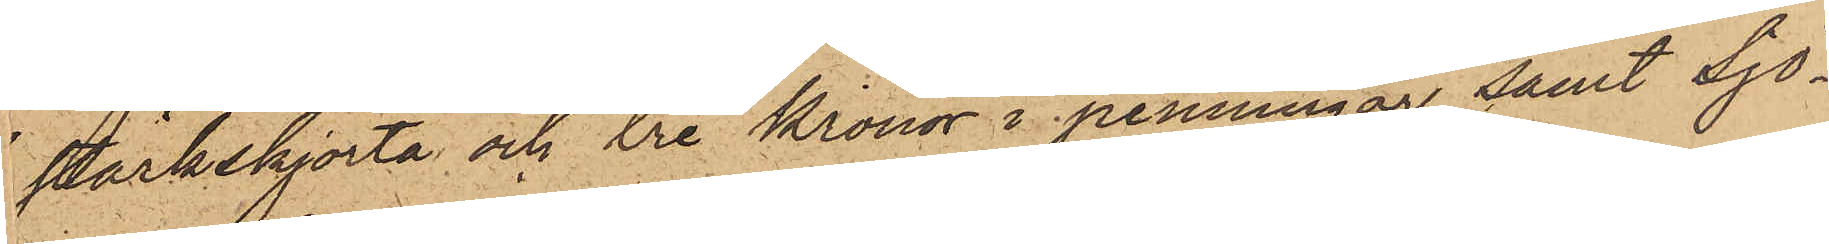stärkskjorta och tre Kronor i penningar samt Sjö¬
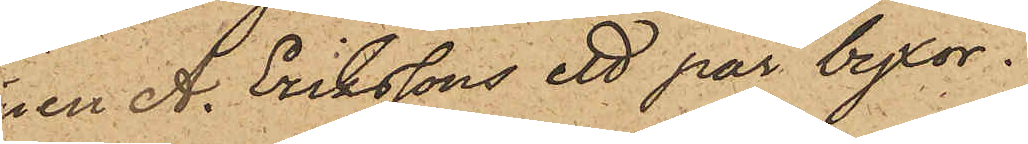nen A. Erikssons ett par byxor.
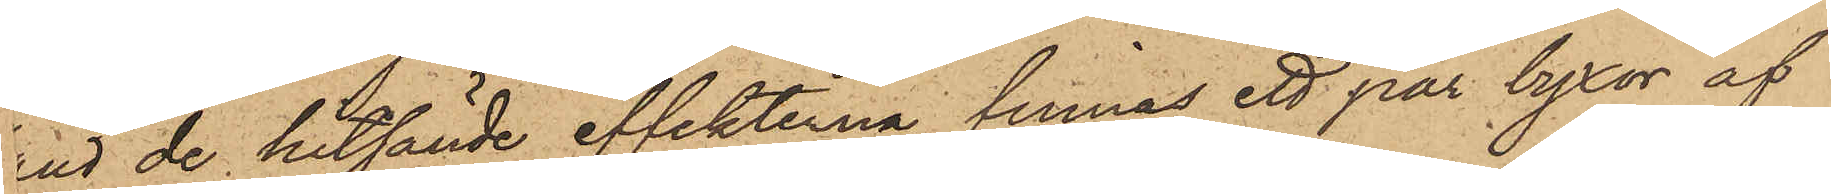nd de hitsände effekterna finnas ett par byxor af
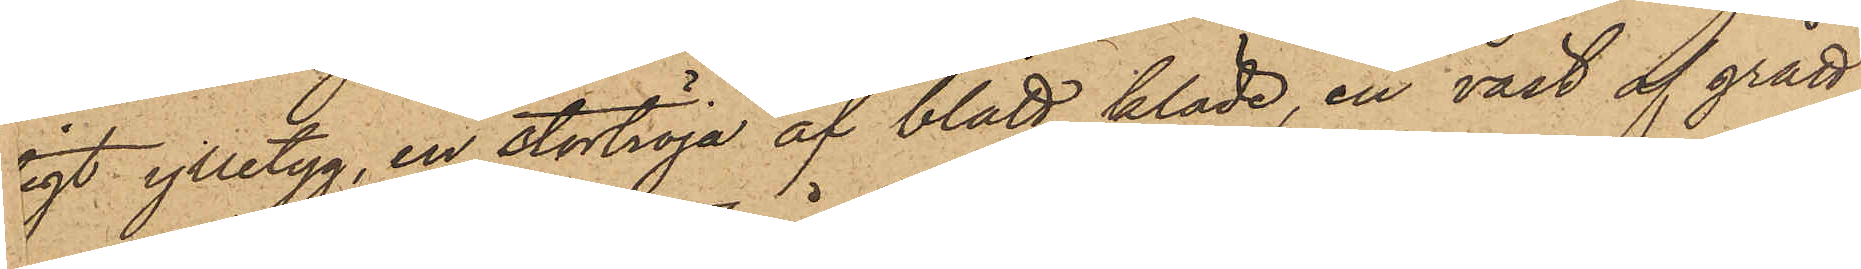igt ylletyg, en stortröja af blått kläde, en väst af grått
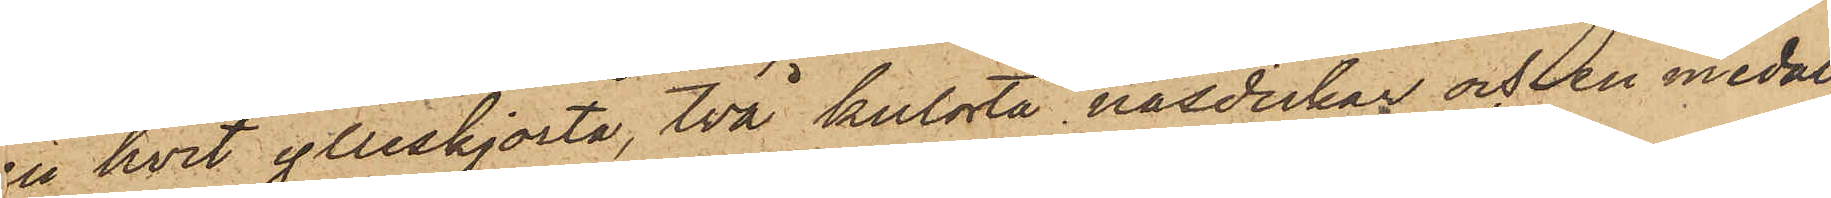en hvit ylleskjorta, två kulörta näsdukar och en medal¬
